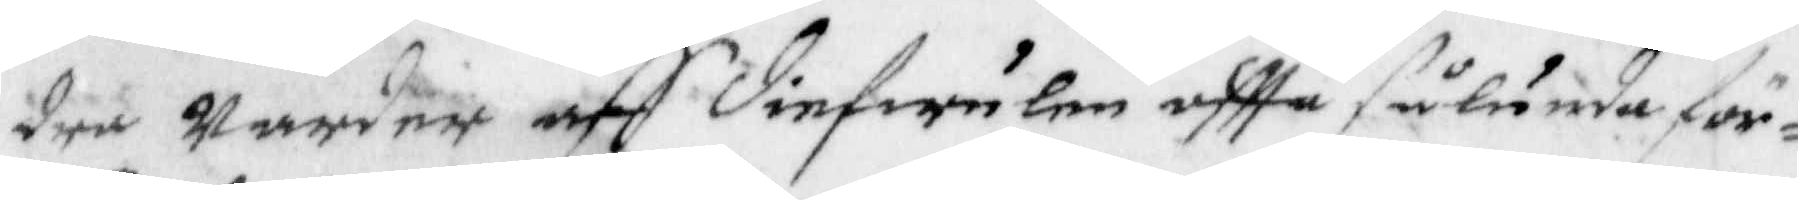dra Warder aff diefwulen offta sålunda för¬
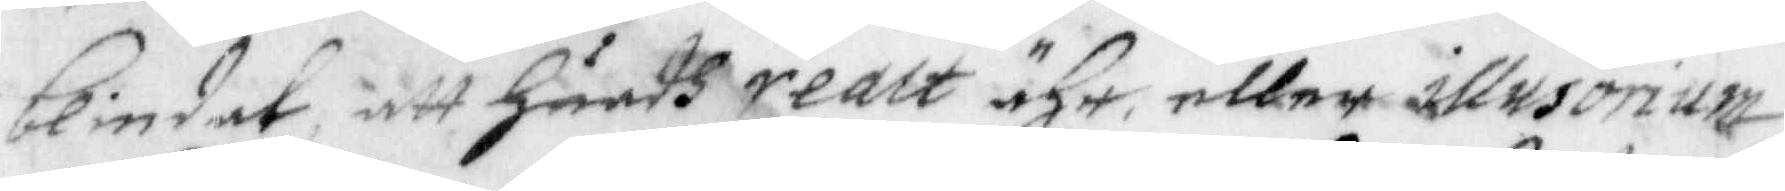blindat, att Huadh realt ähr, eller illusorium
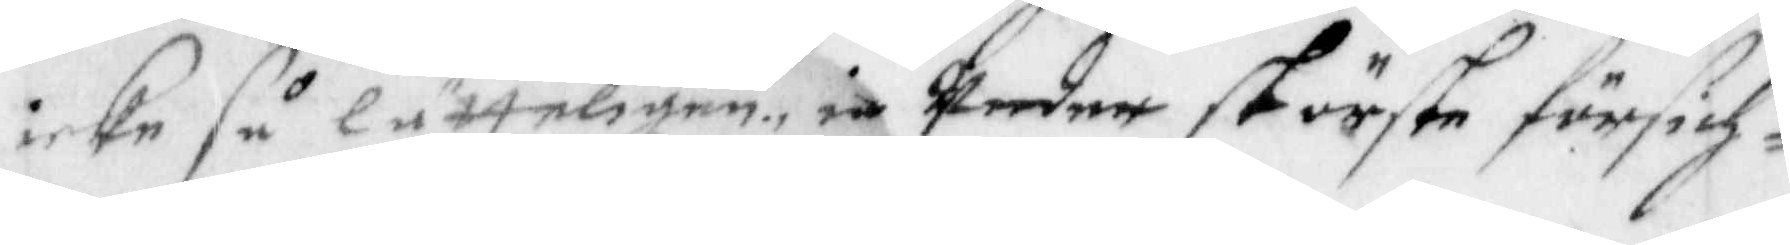icke så lätteligen, ie Under störste försich¬
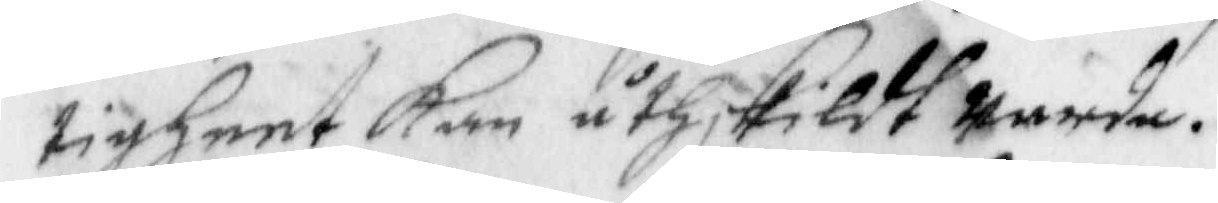tigheet Kan åthskildt Warda.
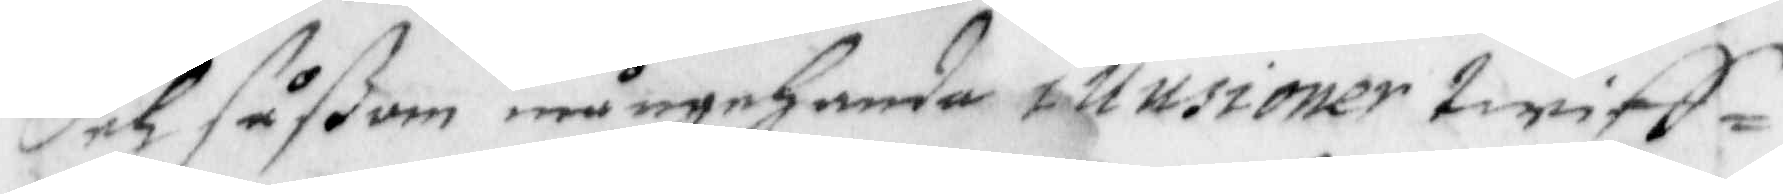Och såßom mångehanda illusioner twiff¬
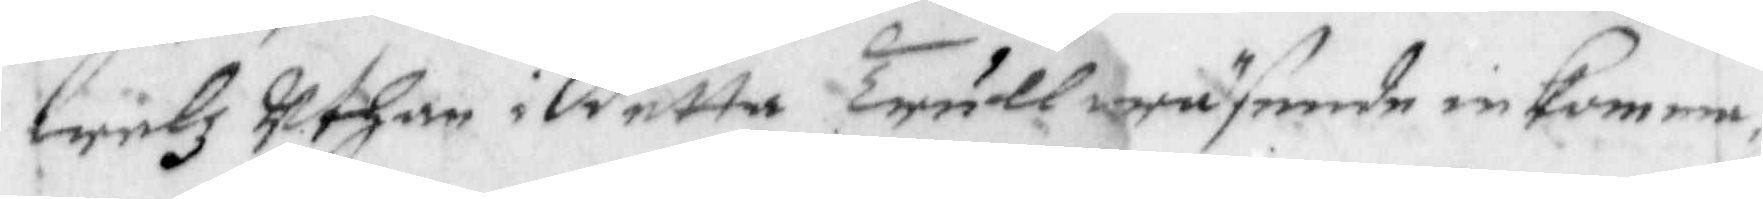welz uthan i detta trullwäsende inKomma, 
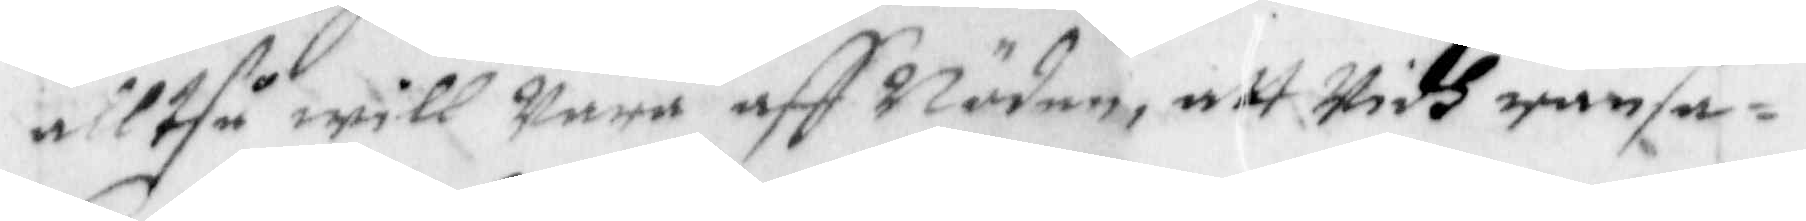alltså will Wara aff Nöden, att Widh ransa¬
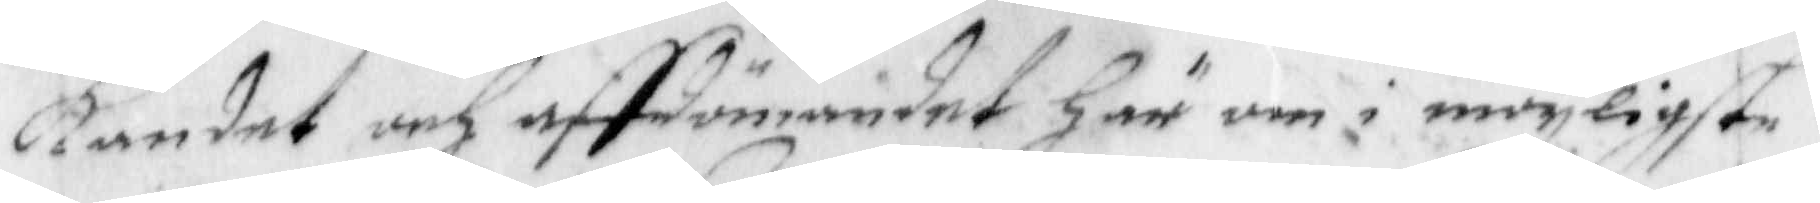kandet och affdömandet Här om i möyligste
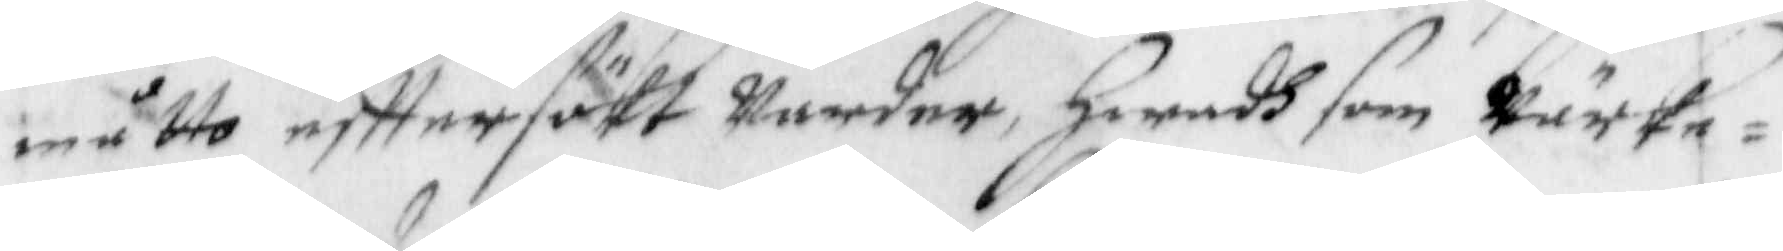måtto efftersökt Warder, Hwadh som Wärke¬
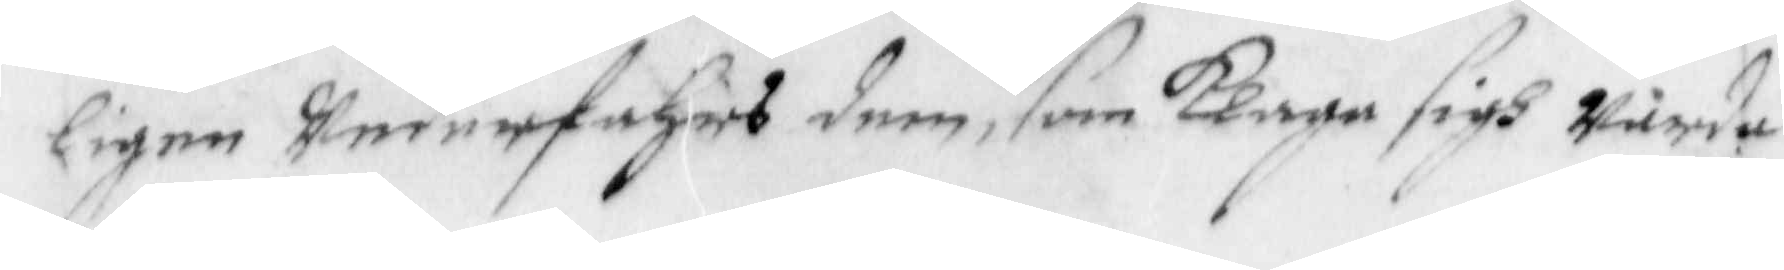ligen Wederfahrs dem, som Klaga sigh Warda
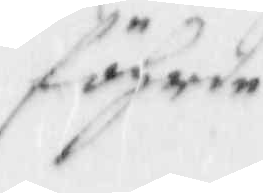föhrde
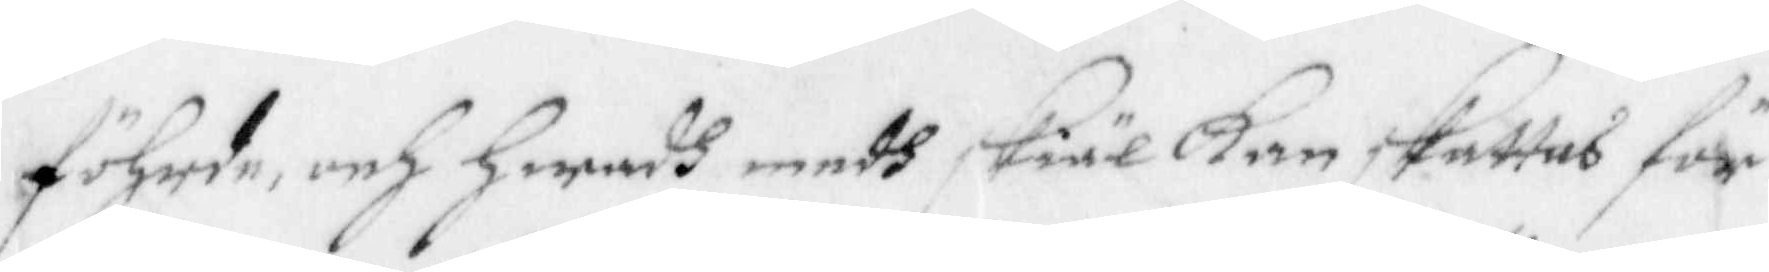föhrde, och hwadh medh skiäl Kan skattas för
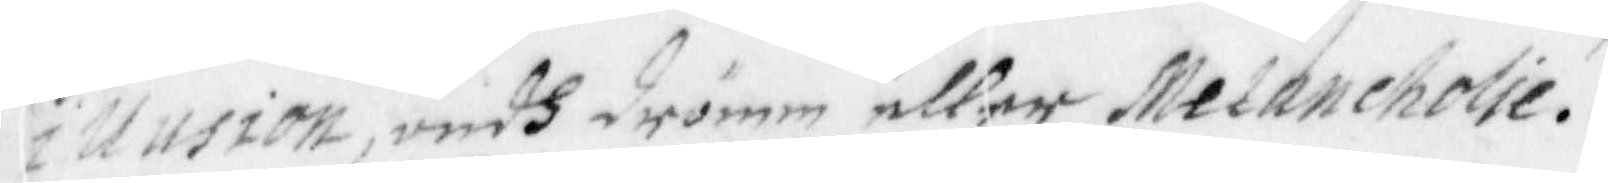illusion, ondh drömm eller Melancholie.
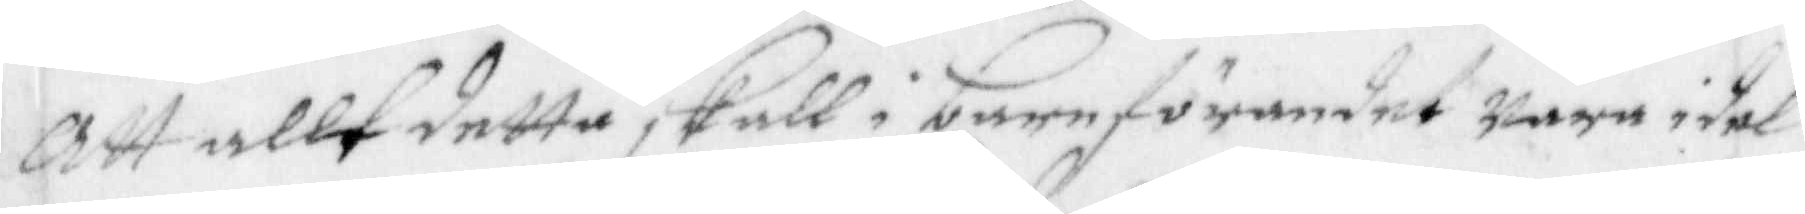Att allt detta skall i barnförandet wara idel
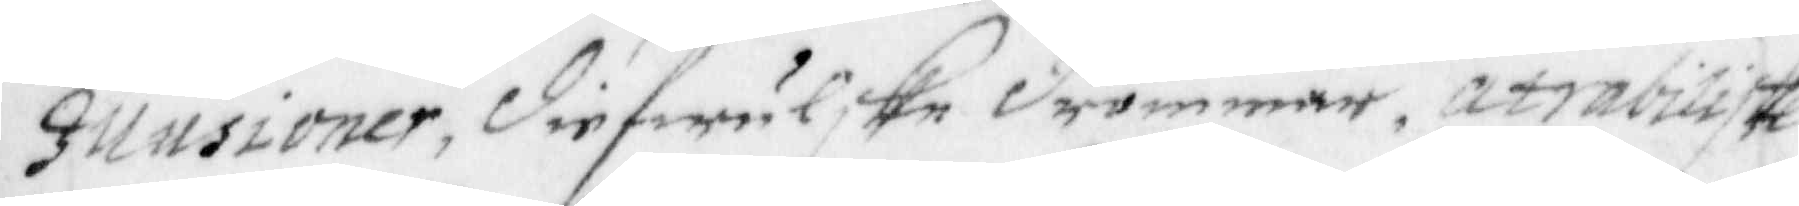Illusioner, diefwulske drömmar, atrabiliske
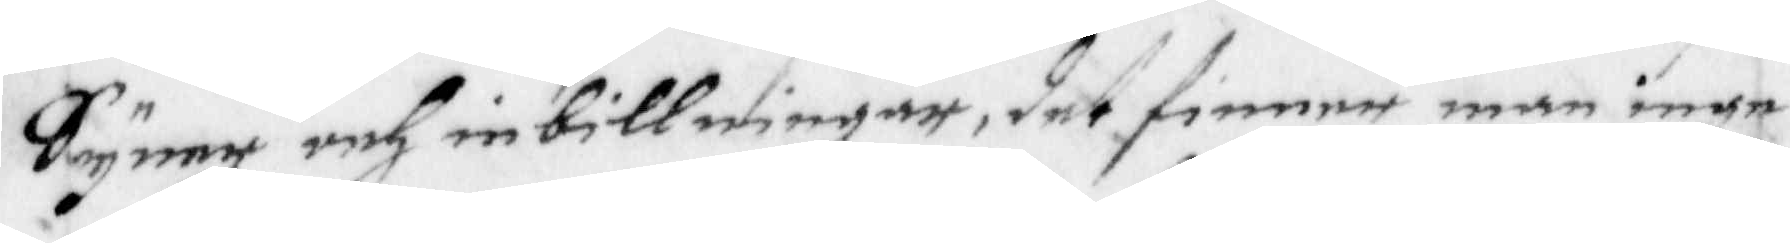Syner och inbillningar, det finner man inge
